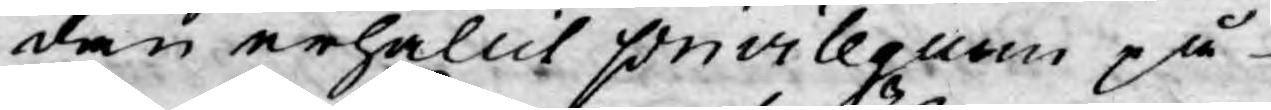dan erhållit privilegium på
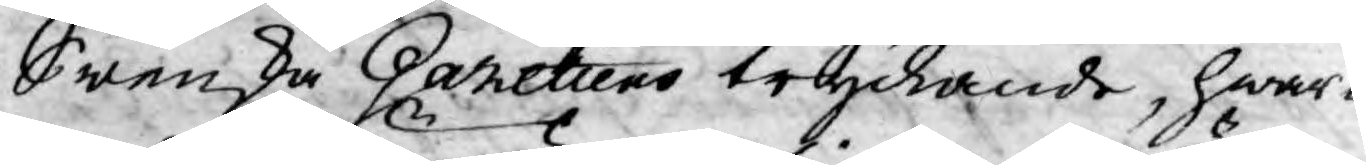Swenska Gazetters tryckande, hwar¬
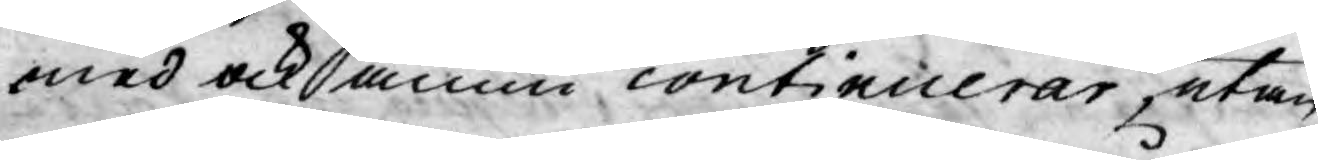med ock ännu continicerar, utan
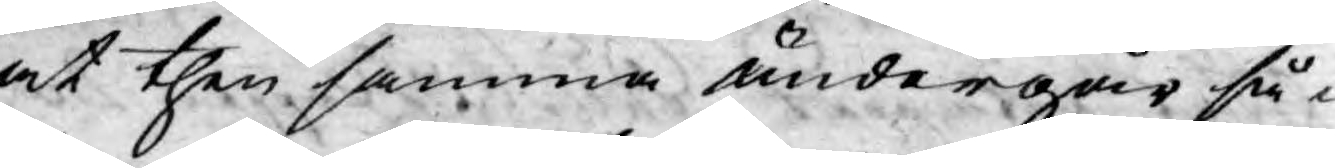at then samma undergår så¬
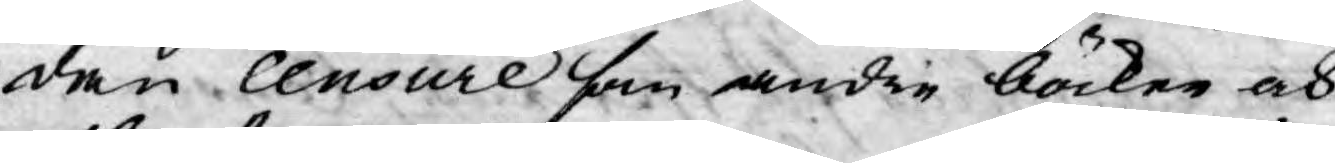dan censure som andre böcker och
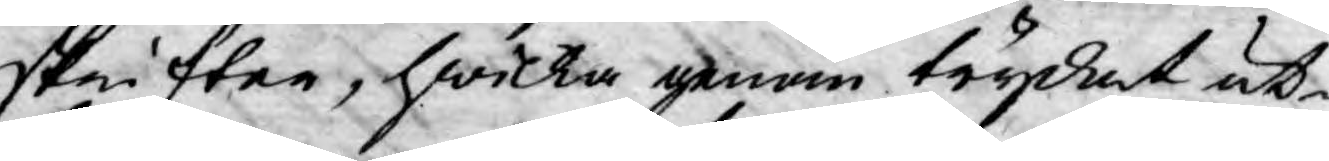skrifter, hwilka genom trycket ut¬
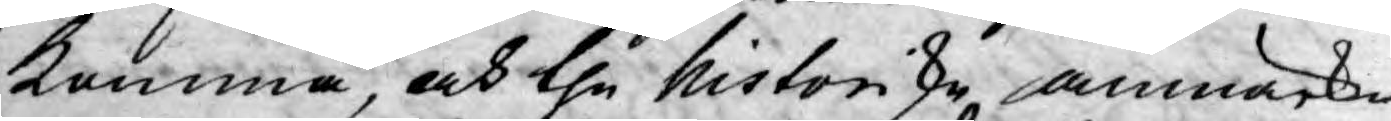komma, och the historiske anmärk¬
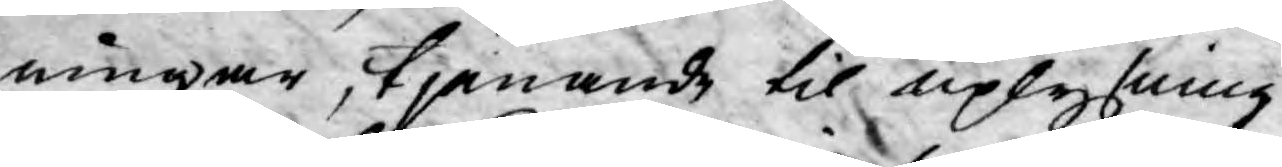ningar, tjenande til uplysning
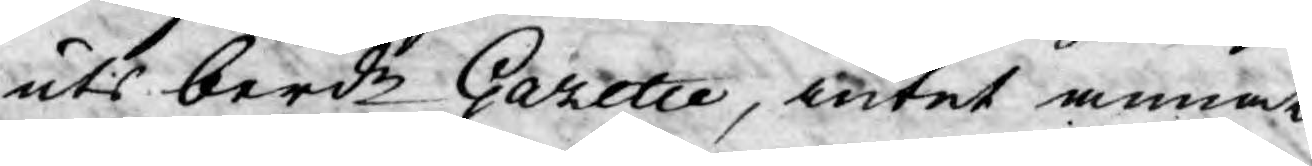uti berde Gazette, intet annat
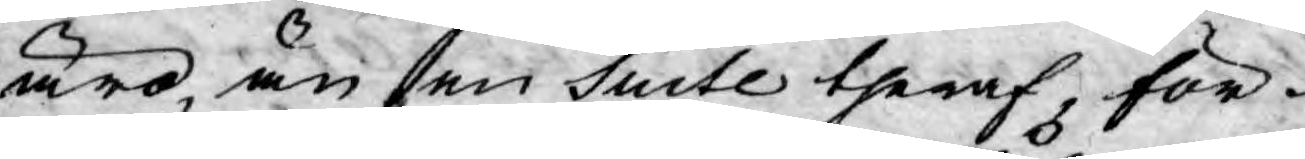äro, än en Suite theraf, för¬
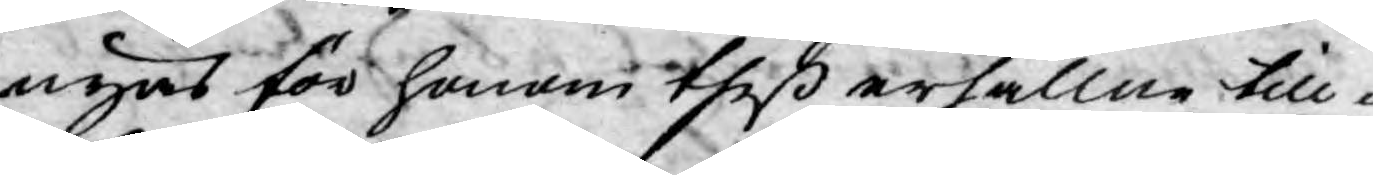nyas för honom theß erhållne till¬
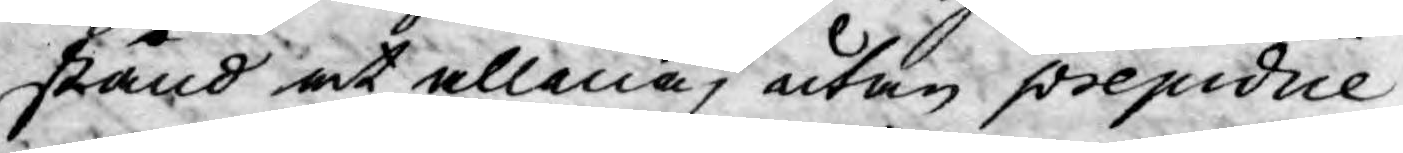stånd at allena, utan prejudice
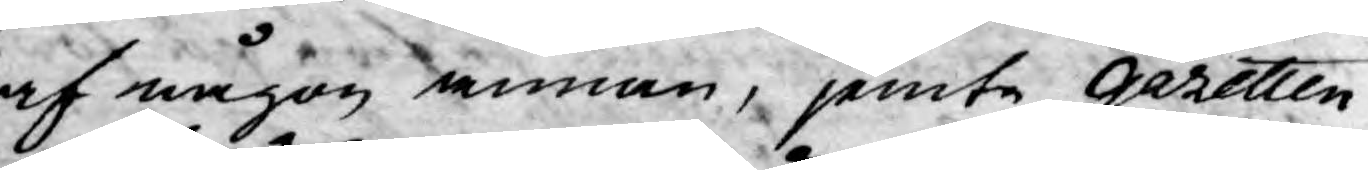af någon annan, jemte Gazetten
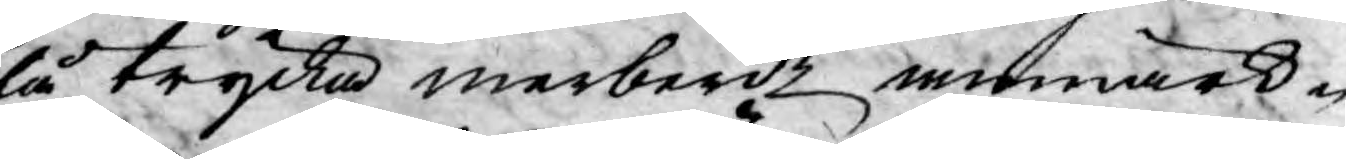få trycka merberde anmärk¬
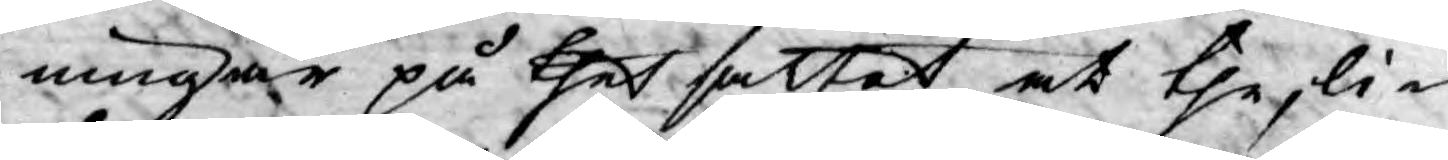ningar på thet sättet at the, li¬
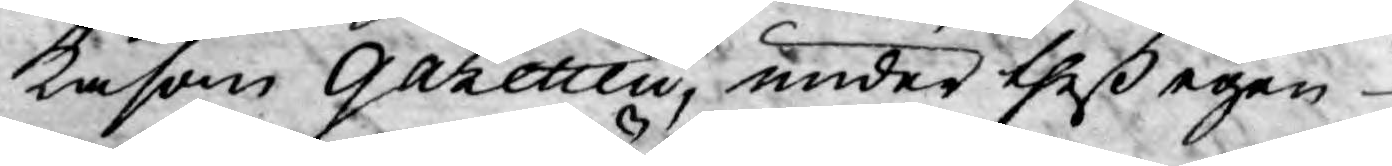kasom gazetten, under theß egen
